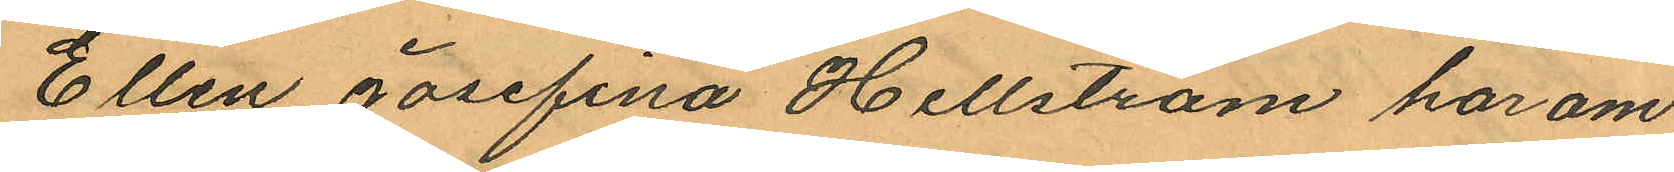Ellen Josefina Hellström har om
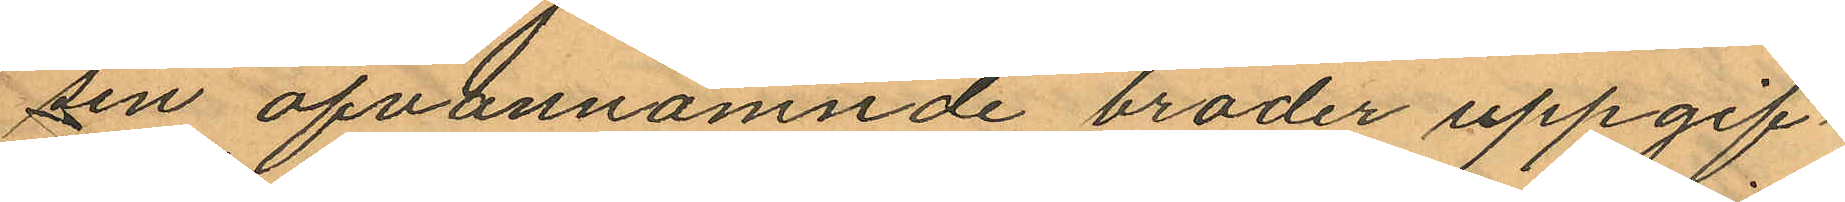sin ofvannämnde broder uppgif¬
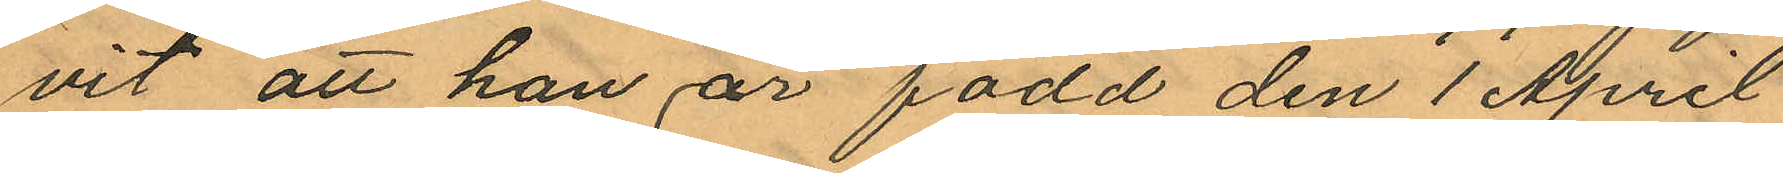vit att han är född den 1 April
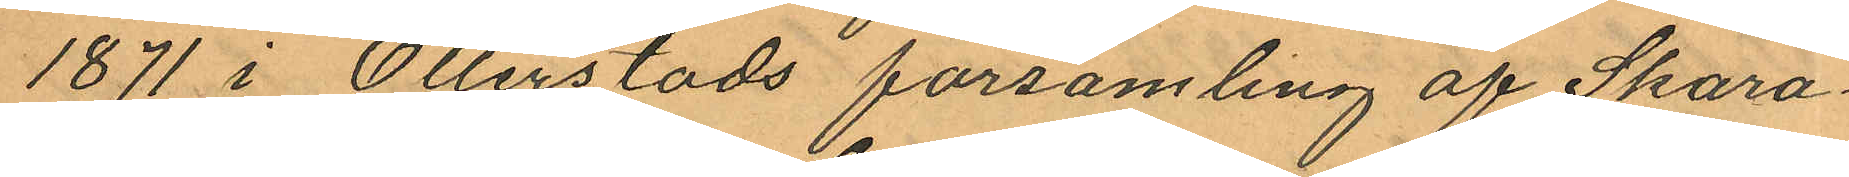1871 i Otterstads församling af Skara¬
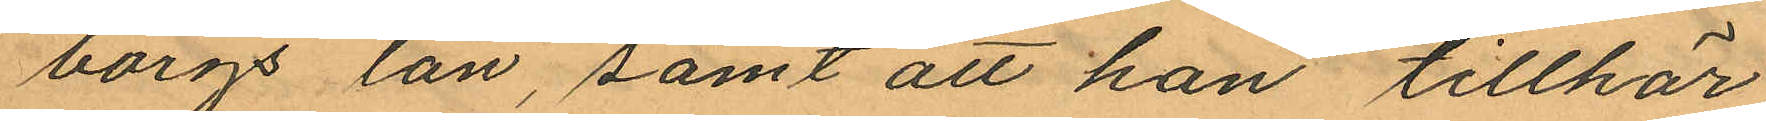borgs län, samt att han tillhör
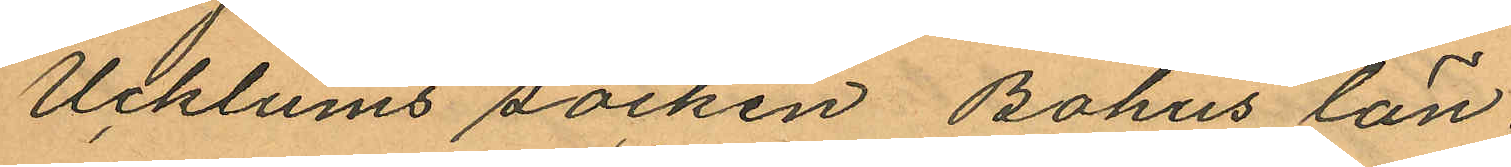Ucklums socken Bohus län
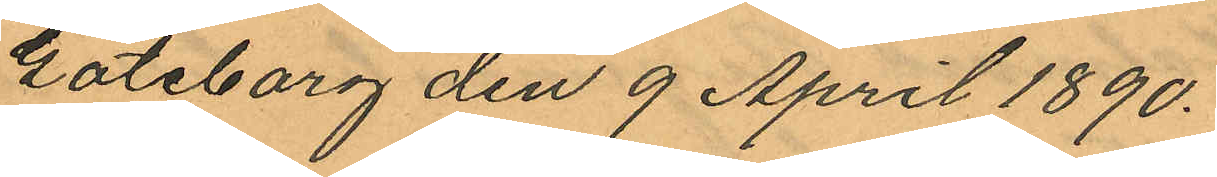Göteborg den 9 April 1890.
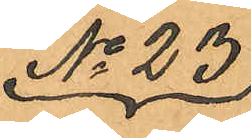No 23
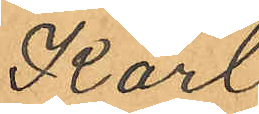Karl
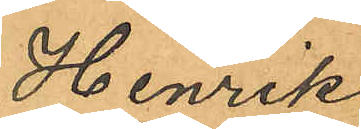Henrik
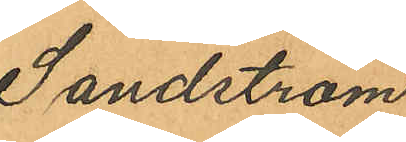Sandström
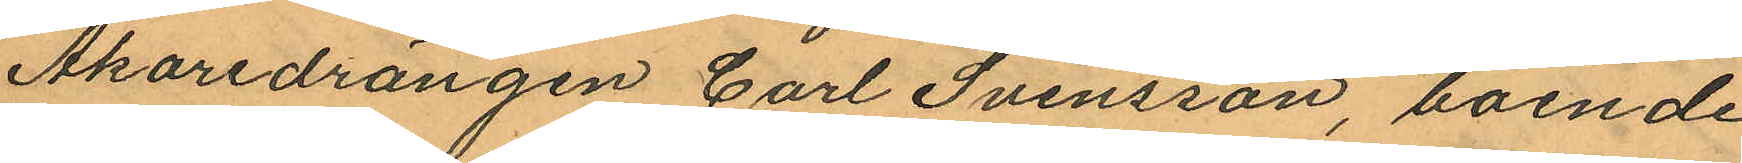Åkaredrängen Carl Svensson, boende
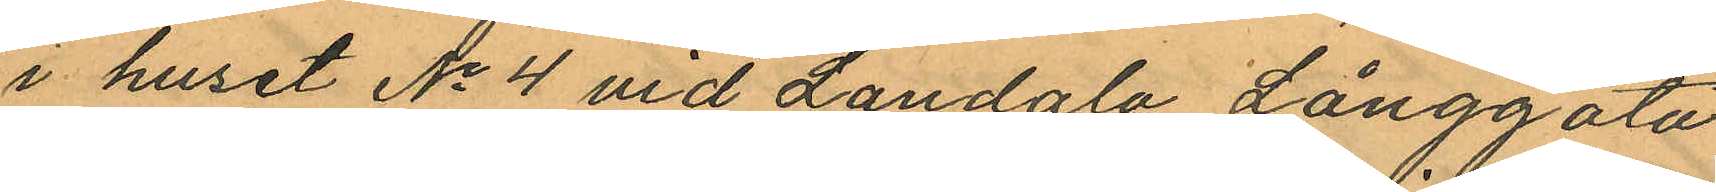i huset No 4 vid Landala Långgata
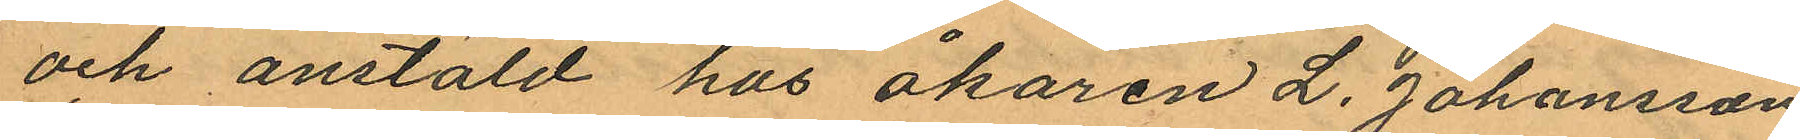och anstäld hos åkaren L. Johansson
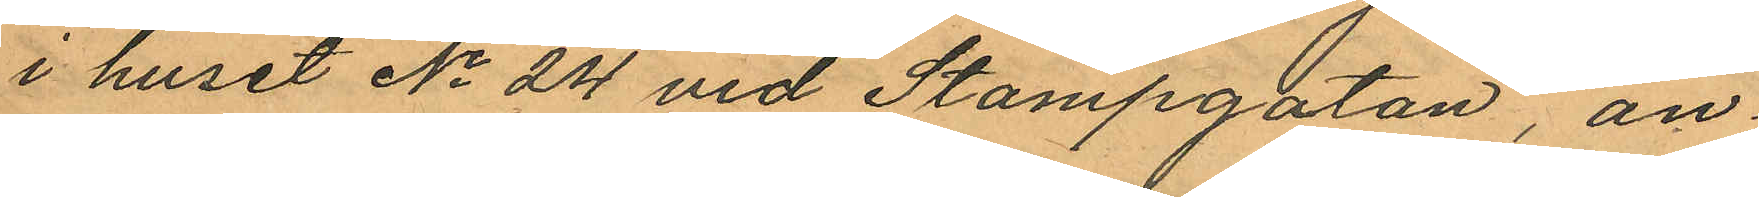i huset No 24 vid Stampgatan, an¬
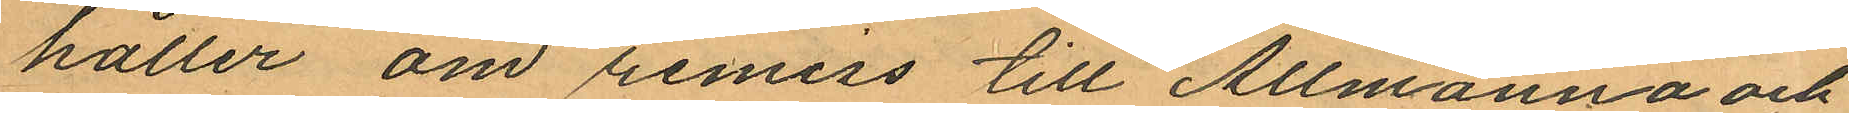håller om remiss till Allmänna och
